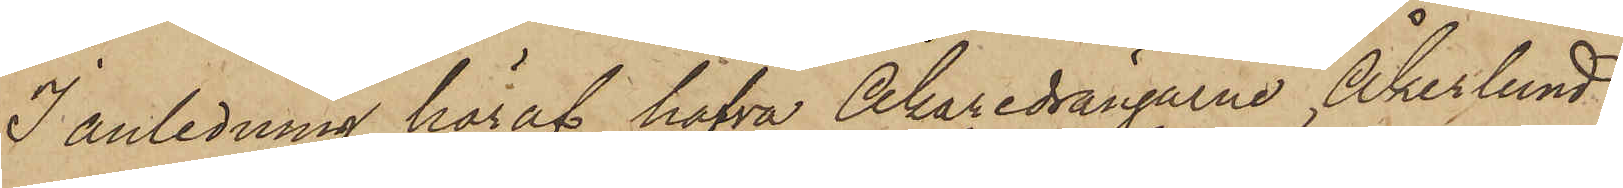I anledning häraf hafva Åkaredrängarne Åkerlund
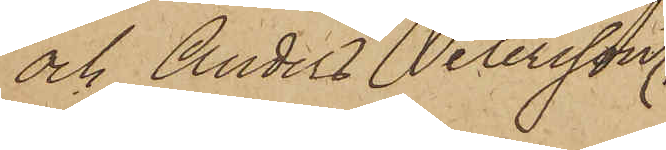och Anders Petersson,
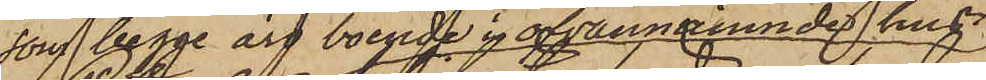som begge äro boende i ofvannämnde hus
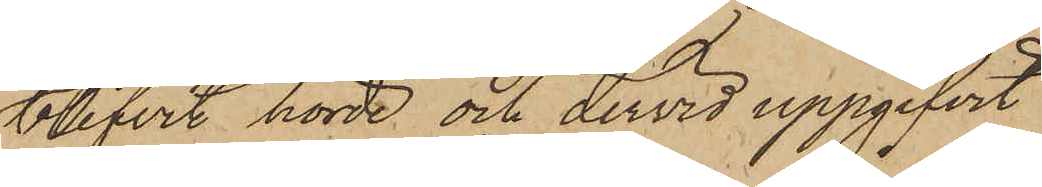blifvit hörde och dervid uppgifvit
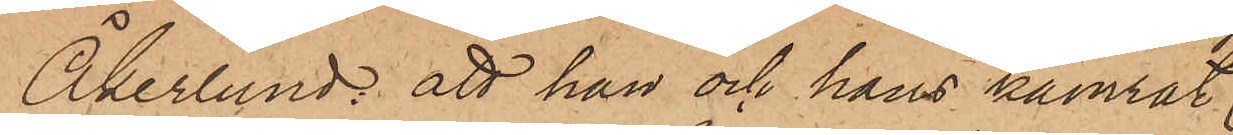Åkerlund; att han och hans kamrat;
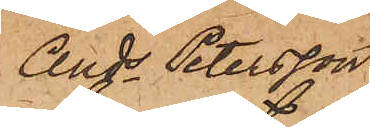Ands Petersson
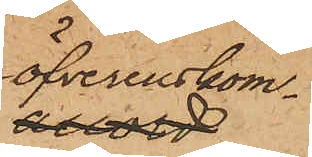öfverenskom¬
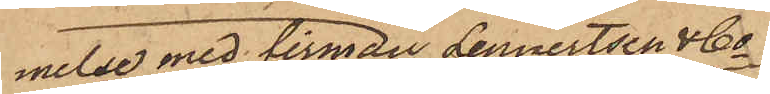melse med firman Lennertsen & Co
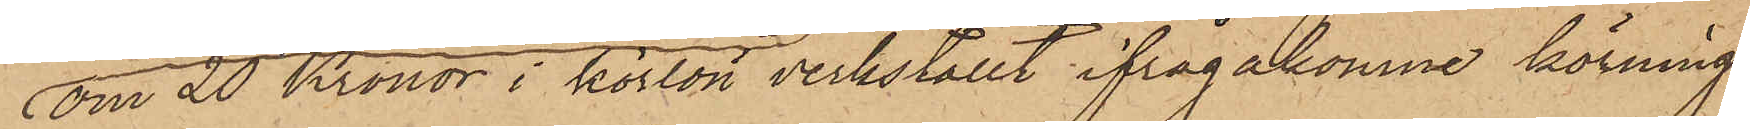om 20 Kronor i körlön verkställt ifrågakomne körning
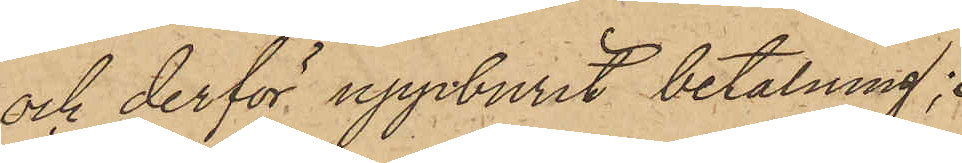och derför uppburit betalning;
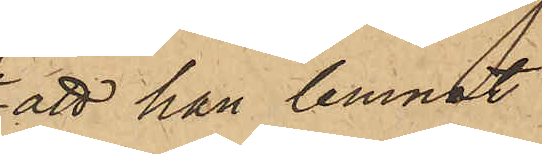att han lemnat
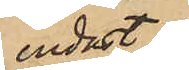endast
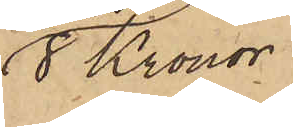8 Kronor.
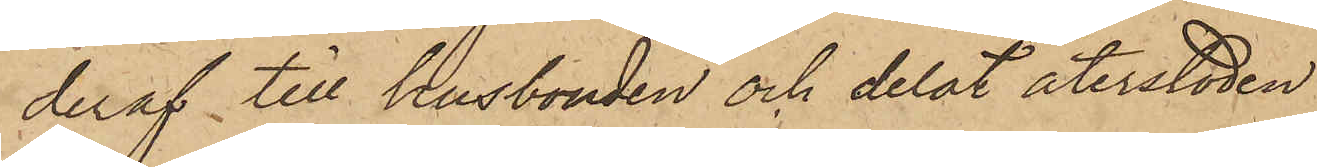deraf till husbonden och delat återstoden
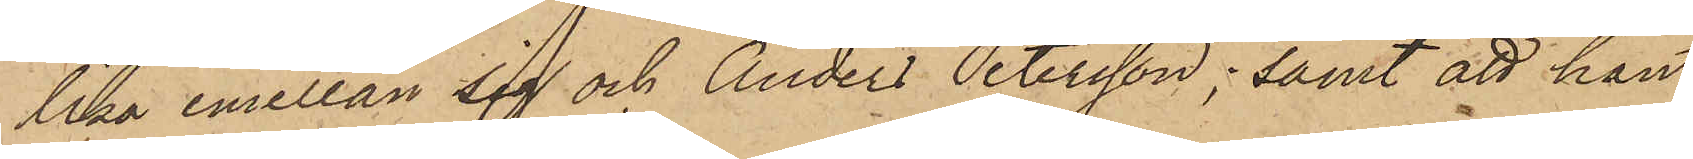lika emellan sig och Anders Petersson; samt att han
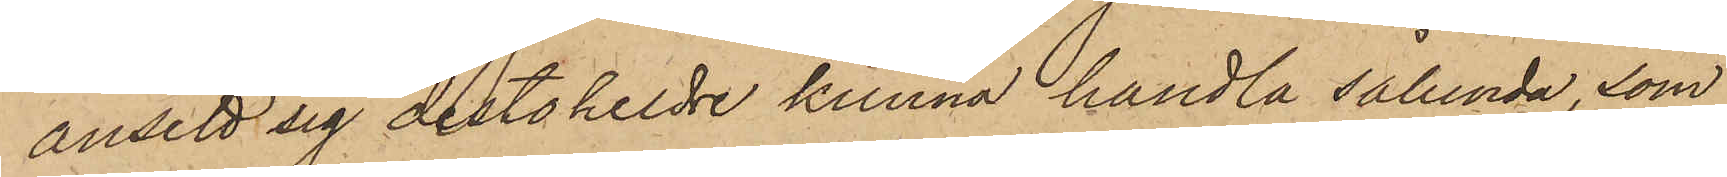ansett sig destoheldre kunna handla sålunda, som
